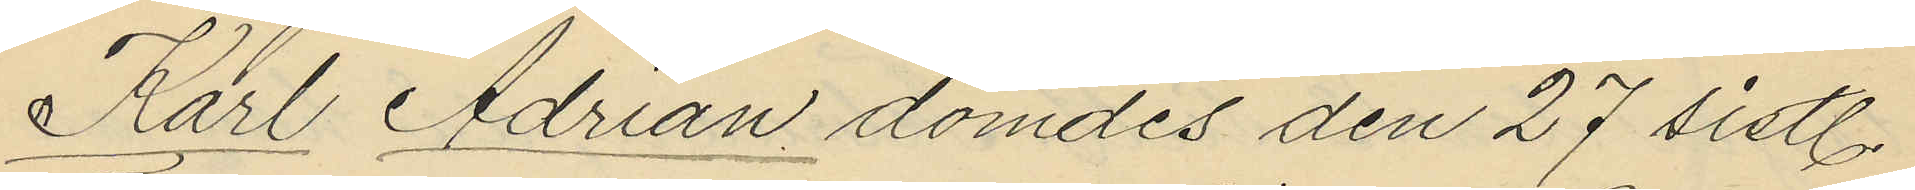Karl Adrian dömdes den 27 sistl.
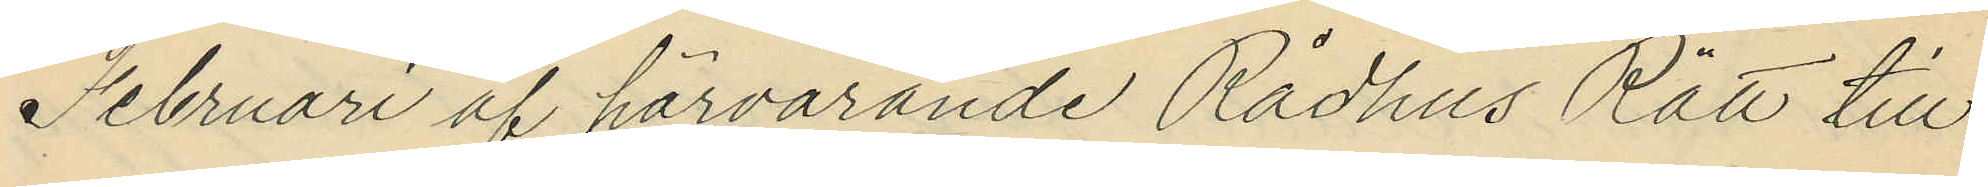Februari af härvarande Rådhus Rätt till
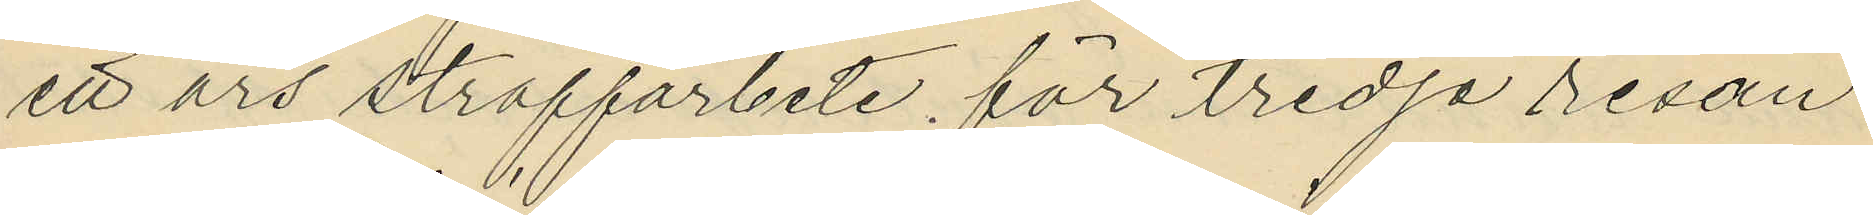ett års straffarbete för tredje resan
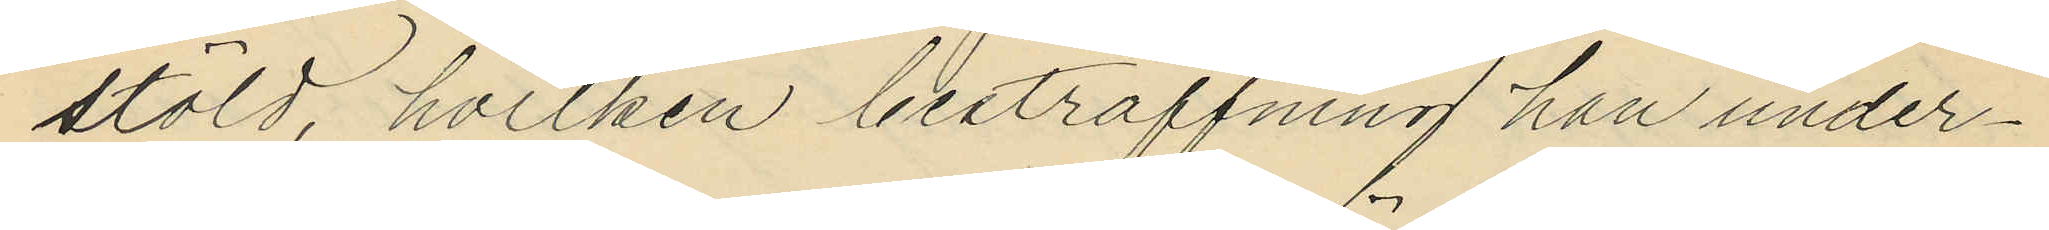stöld, hvilken bestraffning han under¬
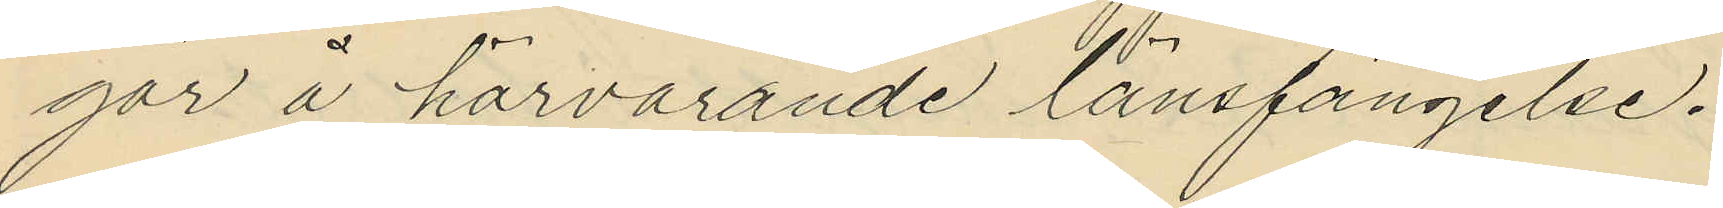går å härvarande länsfängelse.
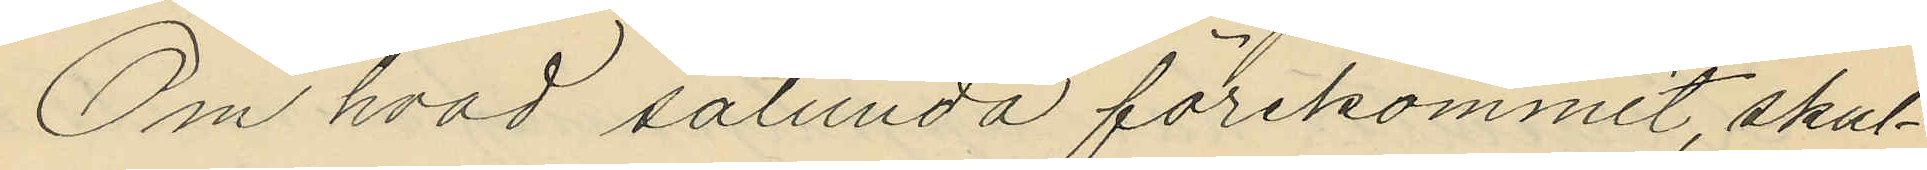Om hvad sålunda förekommit, skul¬
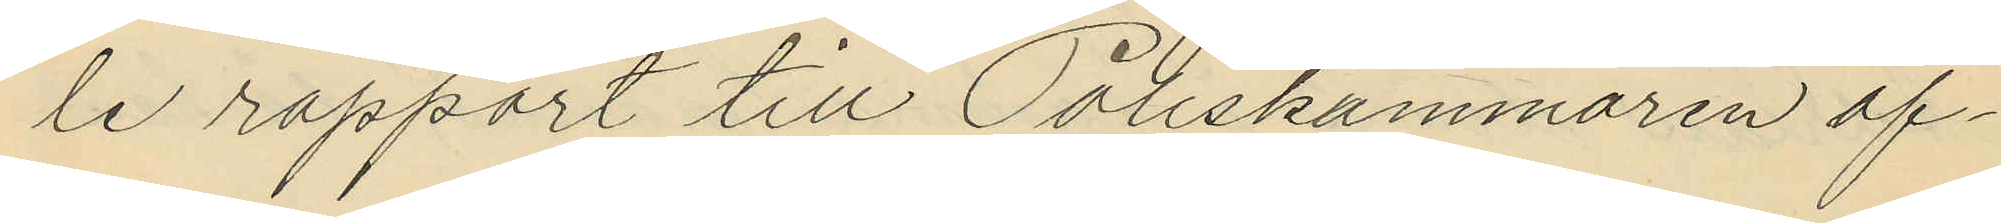le rapport till Poliskammaren af¬
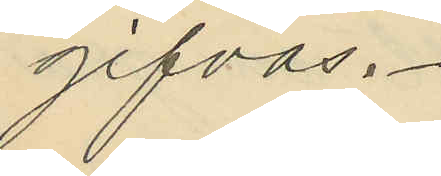gifvas.
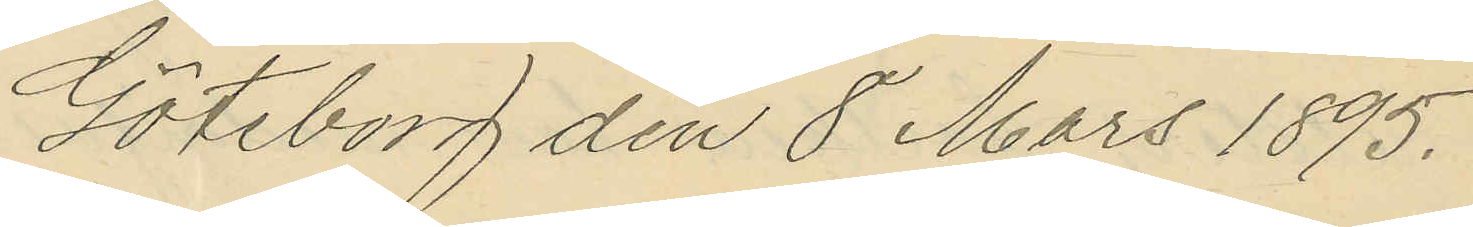Göteborg den 8 Mars 1895.
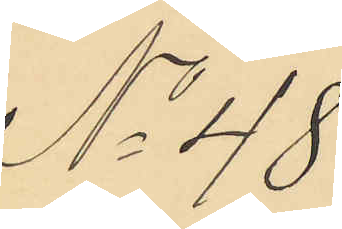No 48
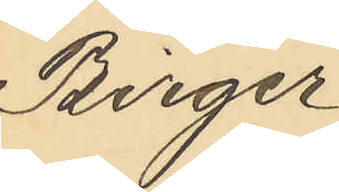Birger
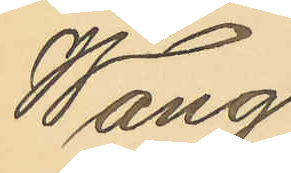Wang
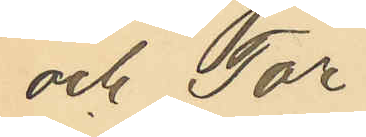och Tor¬
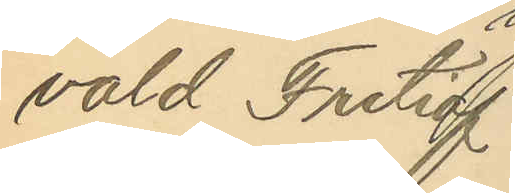vald Fritiof
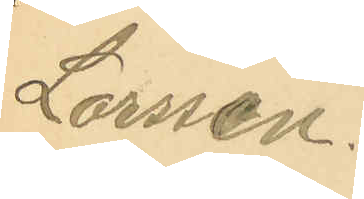Larssen.
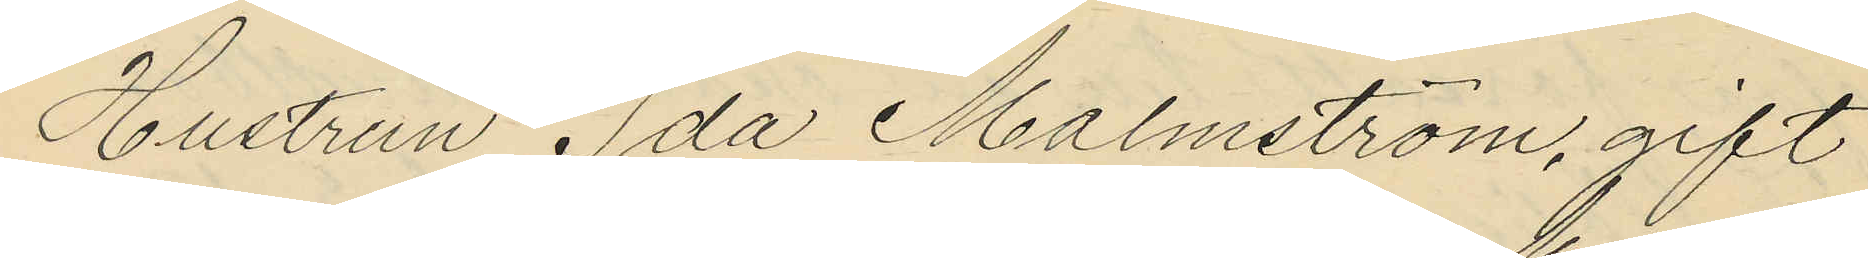Hustrun Ida Malmström, gift
